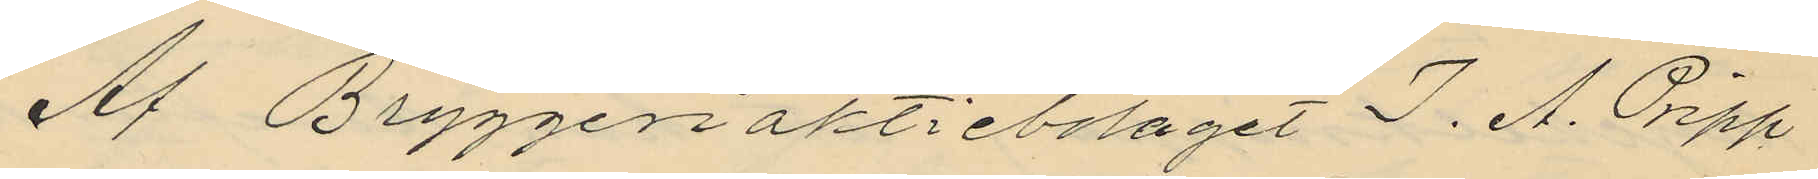Af Bryggeriaktiebolaget J. A. Pripp
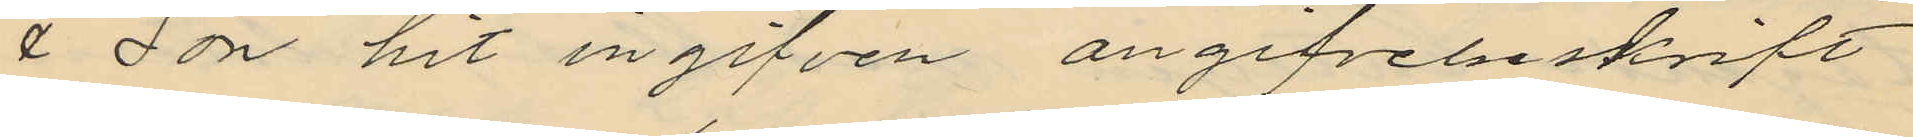& Son hit ingifven angifvelseskrift
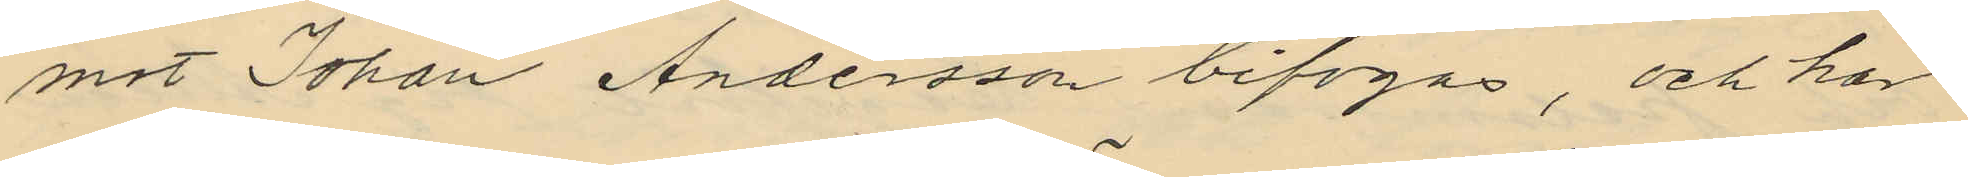mot Johan Andersson bifogas, och har
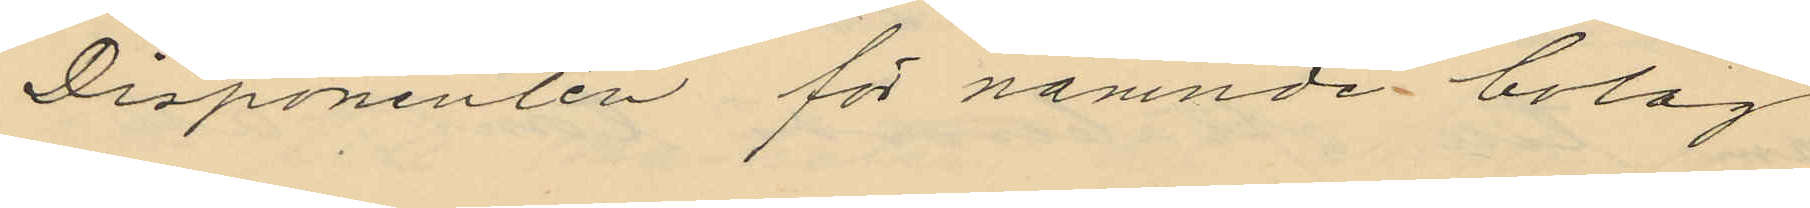Disponenten för nämnde bolag
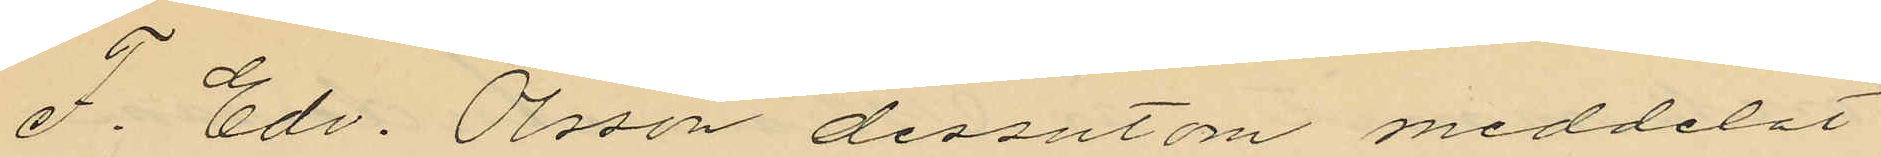F. Edv. Olsson dessutom meddelat
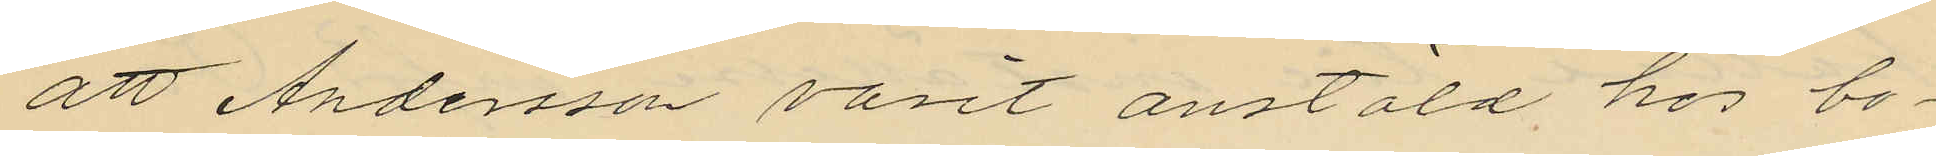att Andersson varit anstäld hos bo¬
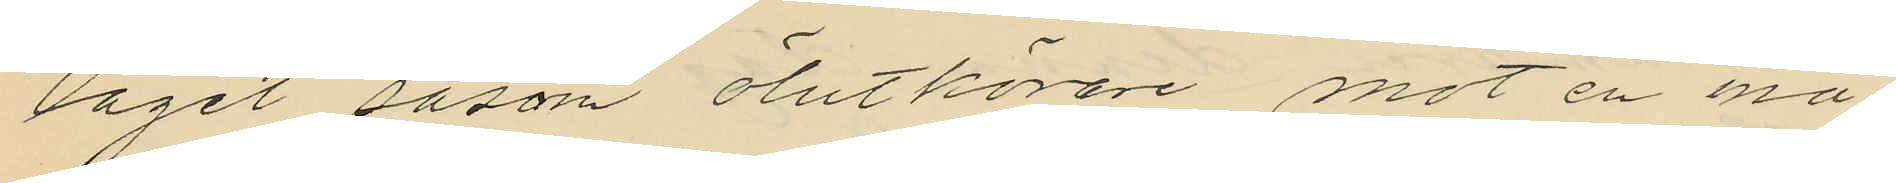laget såsom ölutkörare mot en må¬
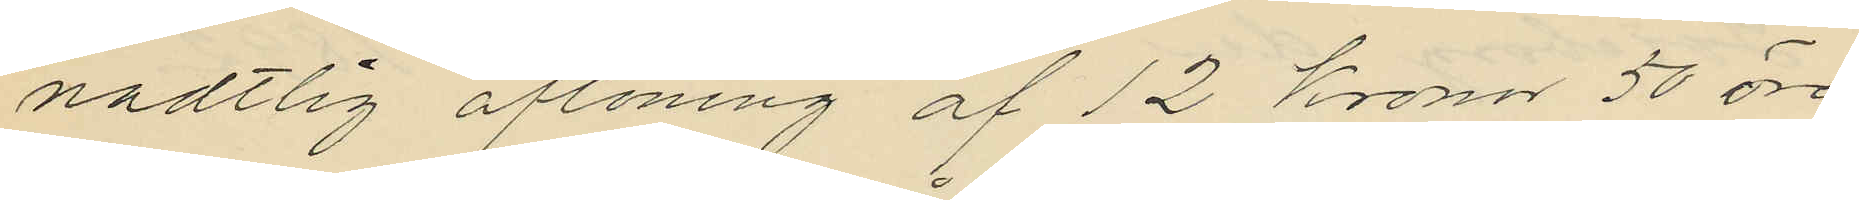nadtlig aflöning af 12 Kronor 50 öre
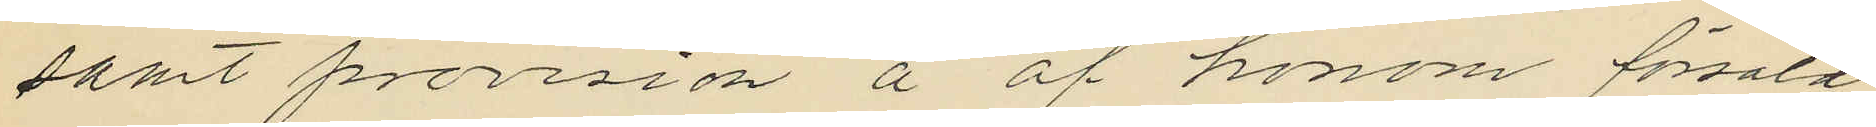samt provision å af honom försåld
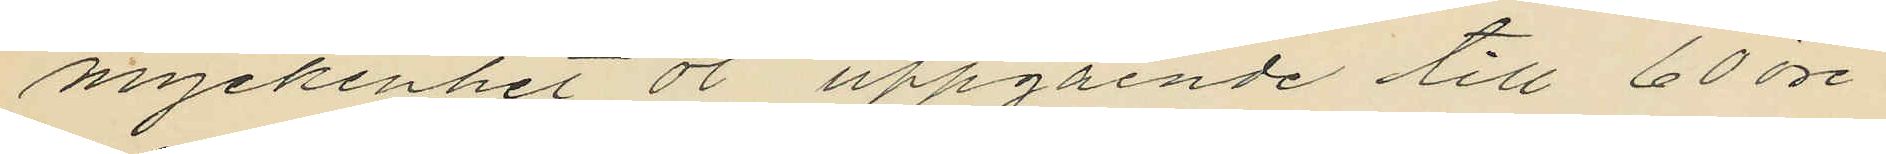myckenhet öl uppgående till 60 öre
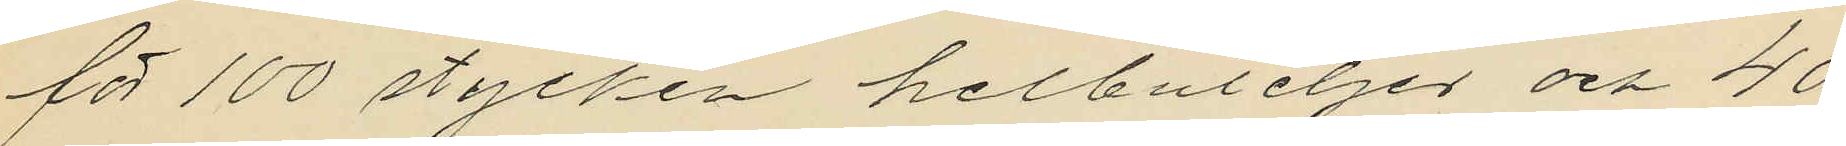för 100 stycken helbuteljer och 40
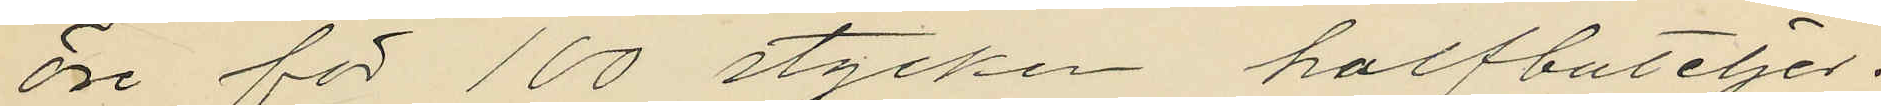öre för 100 stycken halfbuteljer;
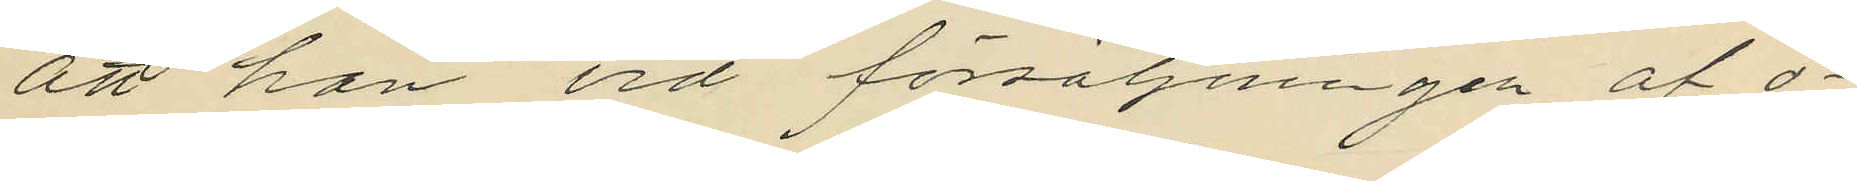att han vid försäljningen af ö¬
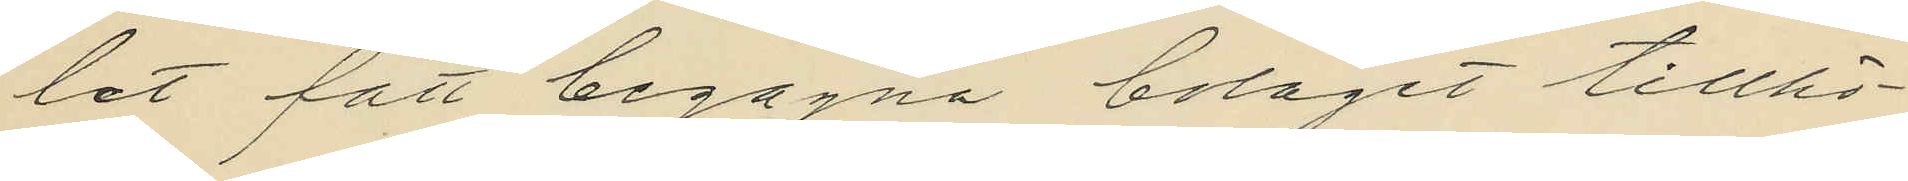let fått begagna bolaget tillhö¬
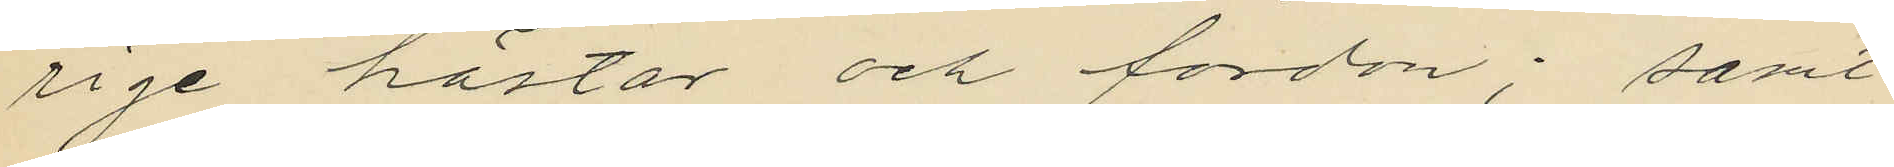rige hästar och fordon; samt
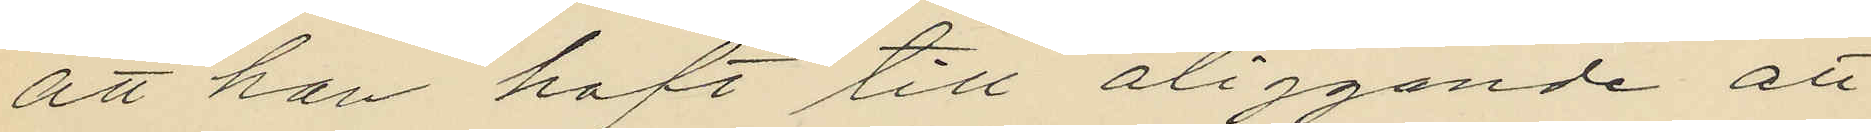att han haft till åliggande att
